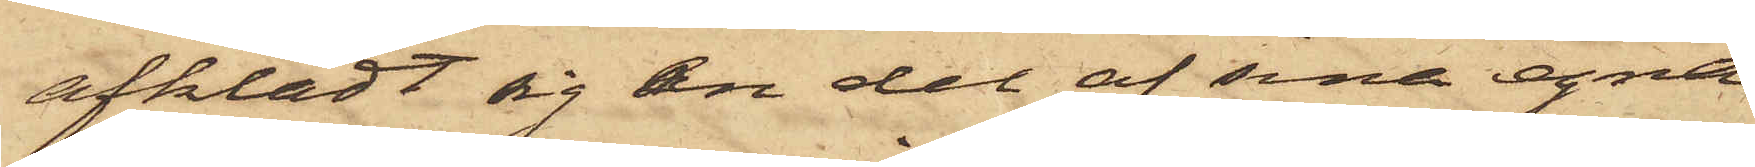afklädt sig en del af sina egna
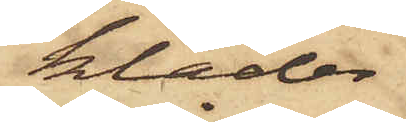kläder
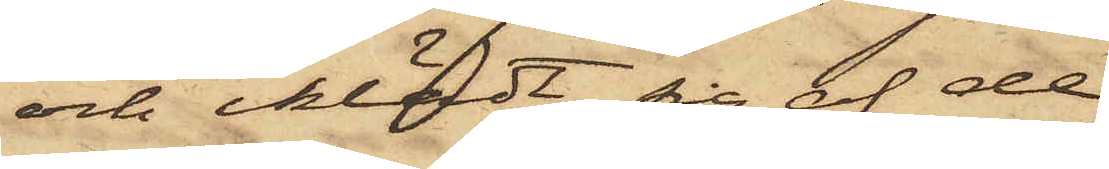och iklädt sig af de
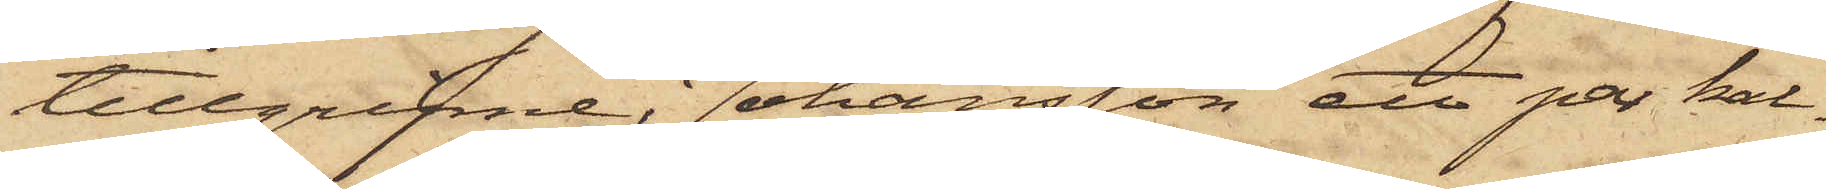tillgripne, Johansson ett par kal¬
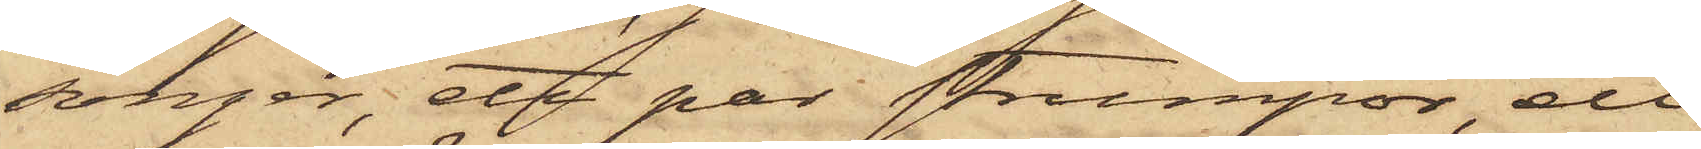songer, ett par strumpor, ett
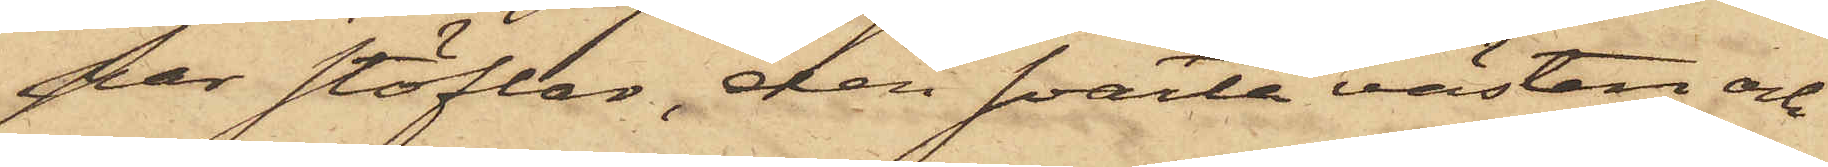par stöflar, den svarta västen och
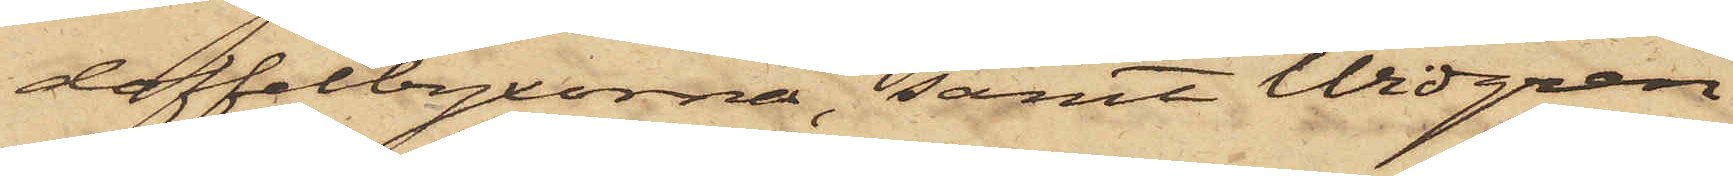doffelbyxorna, samt Widgren
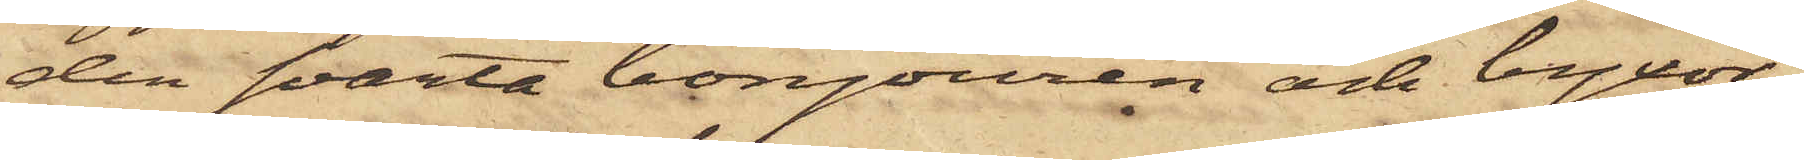den svarta bonjouren och byxor¬
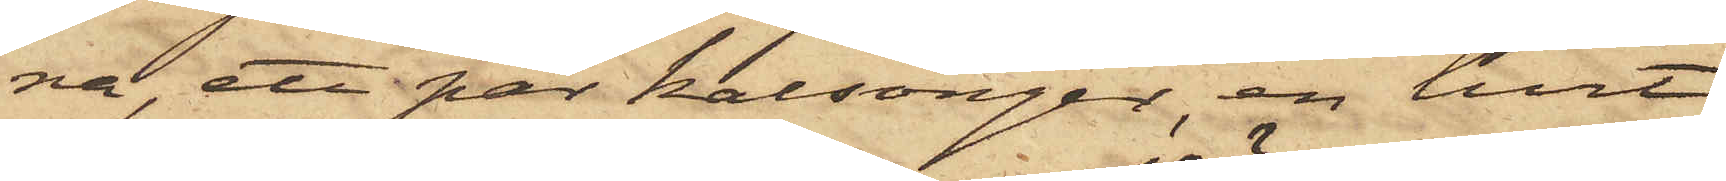na, ett par kalsonger, en hvit
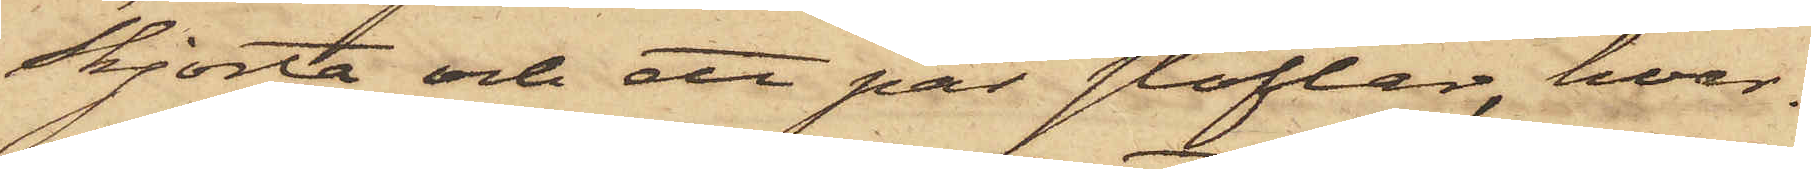skjorta och ett par stöflar, hvar¬
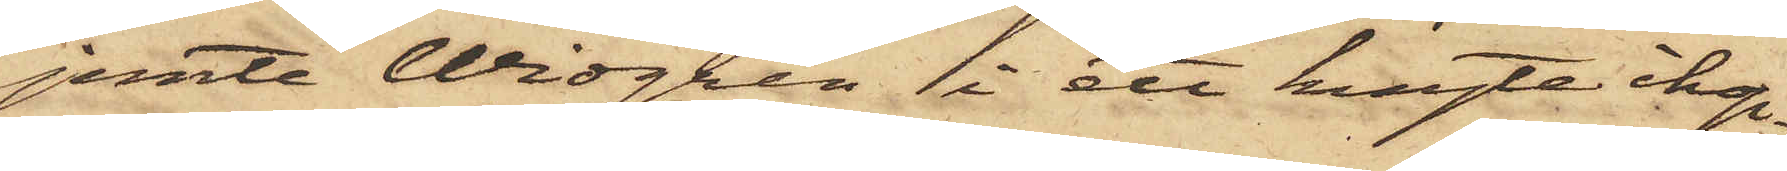jemte Widgren i ett knyte ihop¬
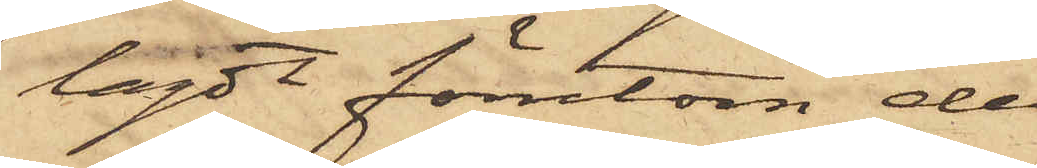lagdt förutom de
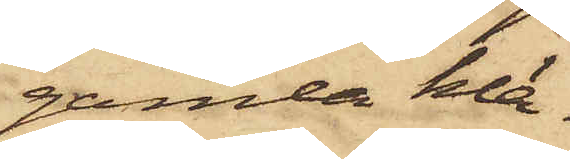gamla klä¬
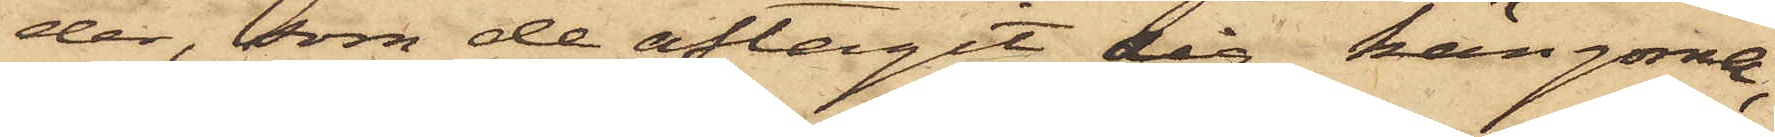der, som de aftagit sig, kängorna,
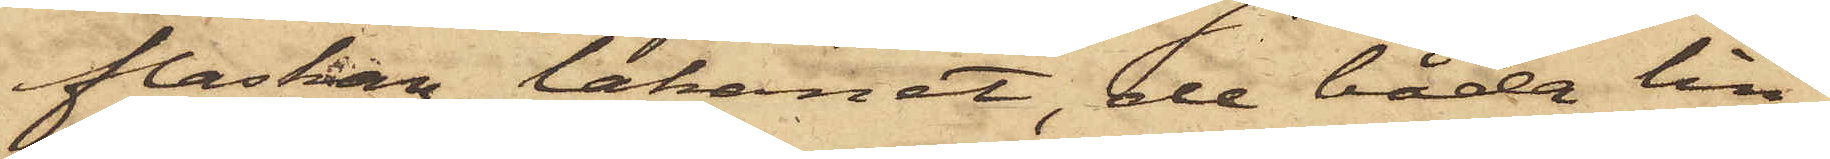flaskan, lakanet, de båda lin¬
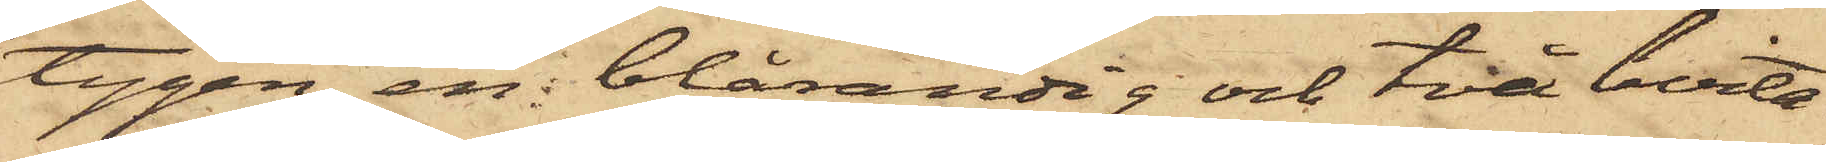tygen, en blårandig och två hvita
